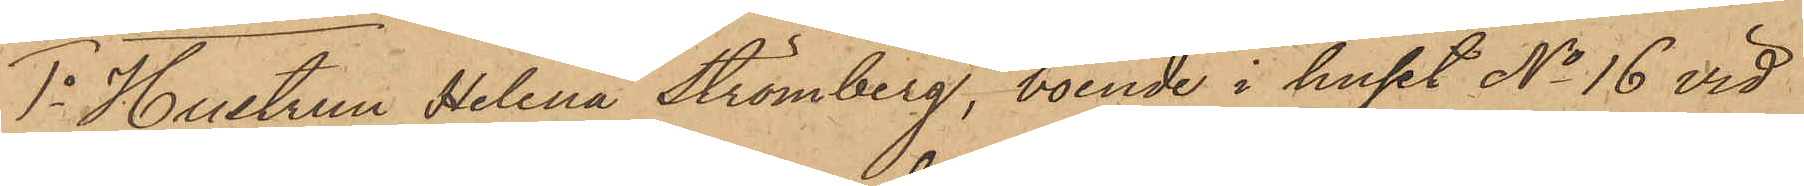1o Hustrun Helena Strömberg, boende i huset No 16 vid
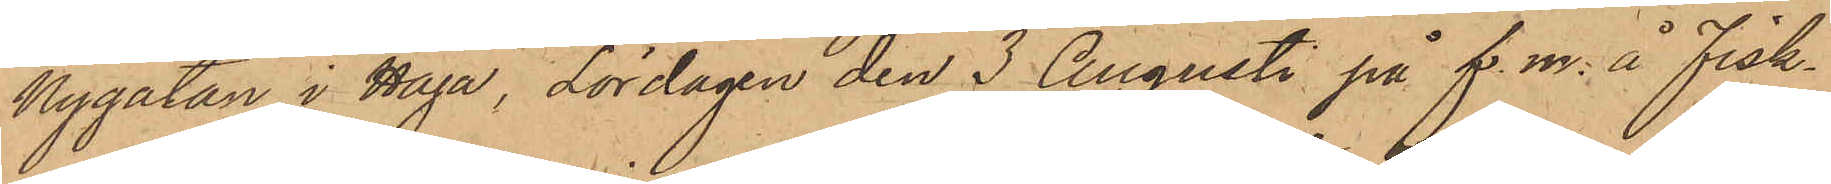Nygatan i Haga, Lördagen den 3 Augusti på f. m. å Fisk¬
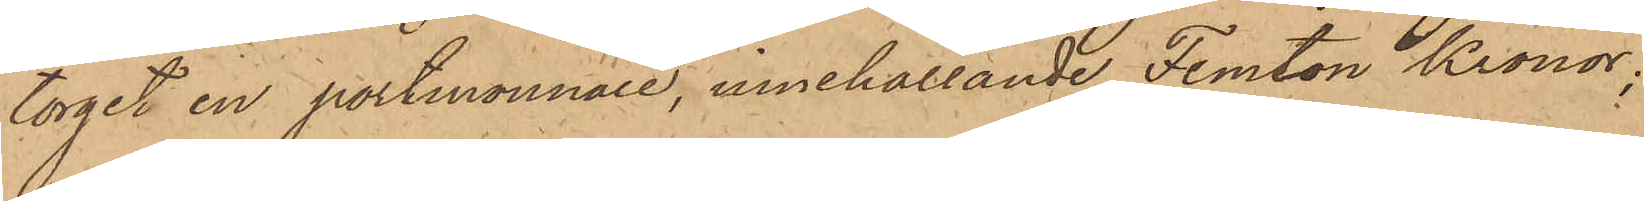torget en portmonnaie, innehållande Femton Kronor;
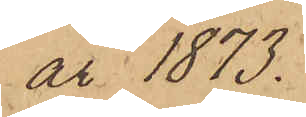år 1873.
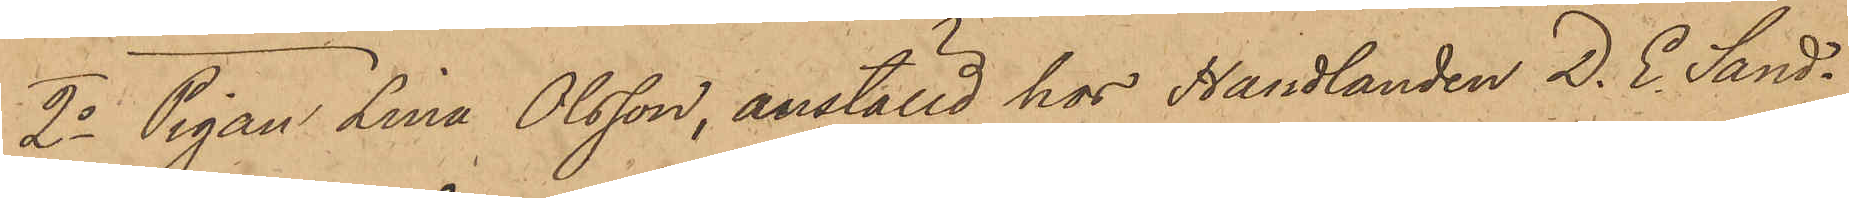2o Pigan Lina Olsson, anställd hos Handlanden D. E. Sand¬
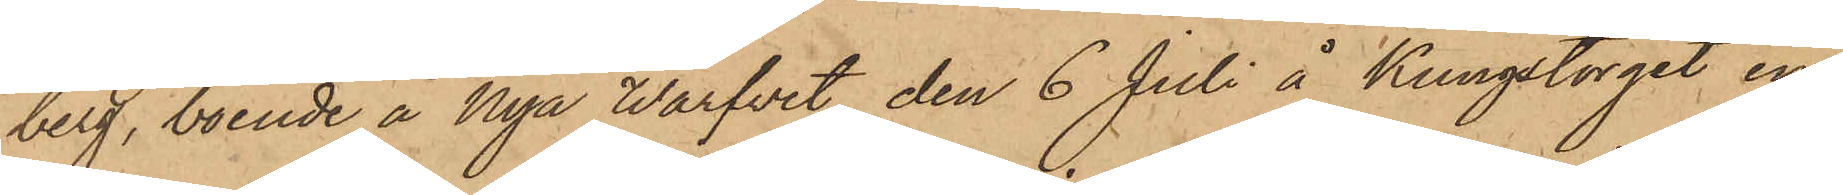berg, boende å Nya Warfvet, den 6 Juli å Kungstorget en
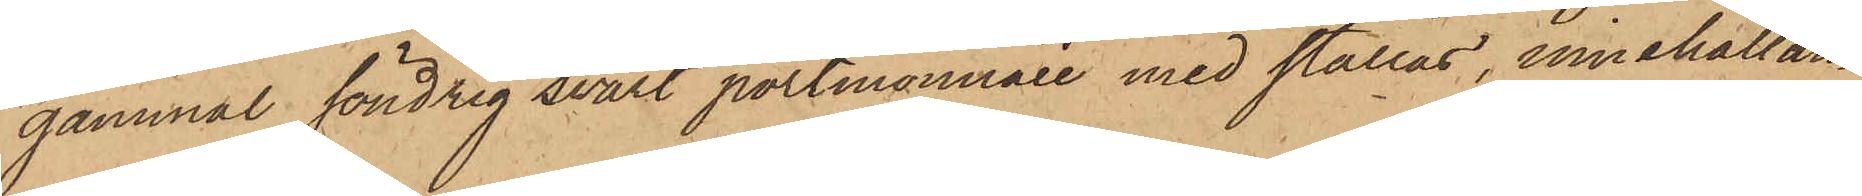gammal söndrig svart portmonnaie med stållås, innehållan¬
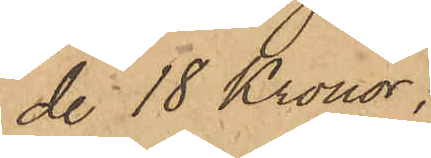de 18 Kronor,
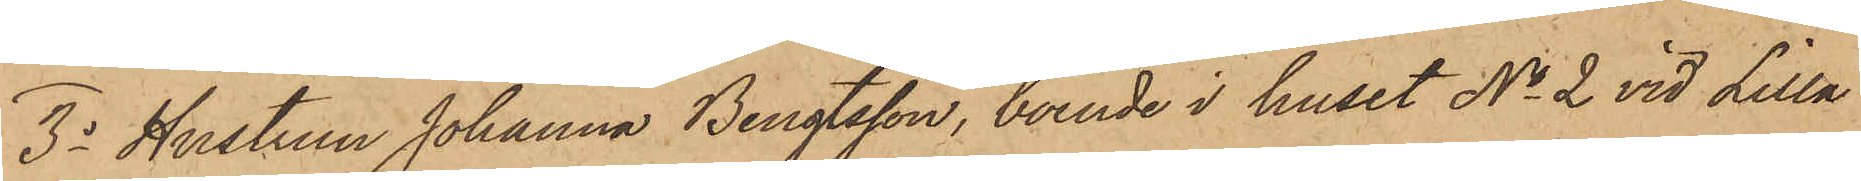3o Hustrun Johanna Bengtsson, boende i huset No 2 vid Lilla
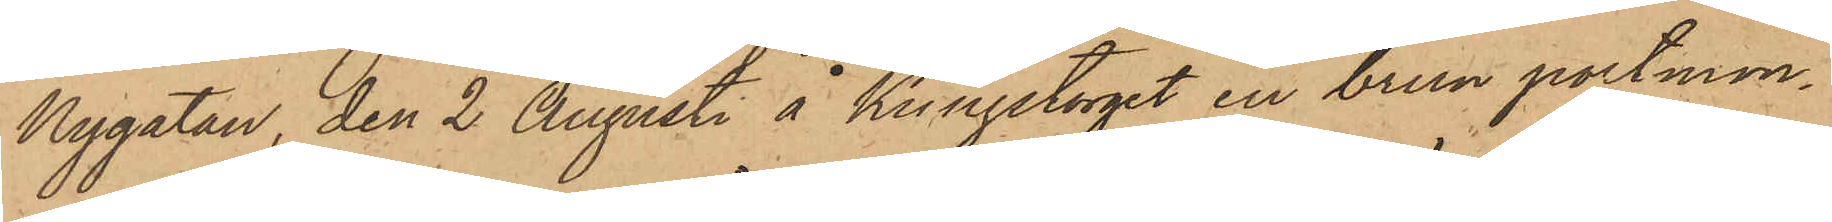Nygatan, den 2 Augusti å Kungstorget en brun portmon¬
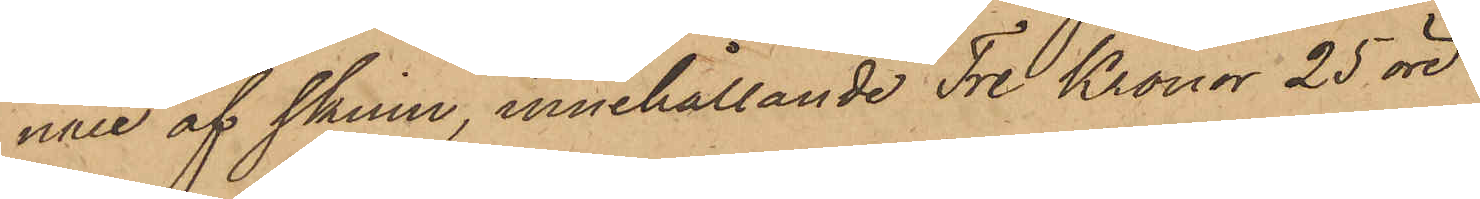nie af skinn, innehållande Tre Kronor 25 öre
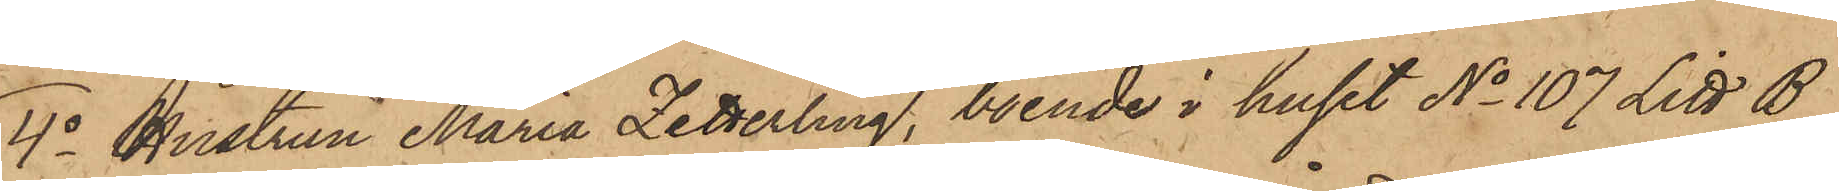4o Hustrun Maria Zetterling, boende i huset No 107 Litt B
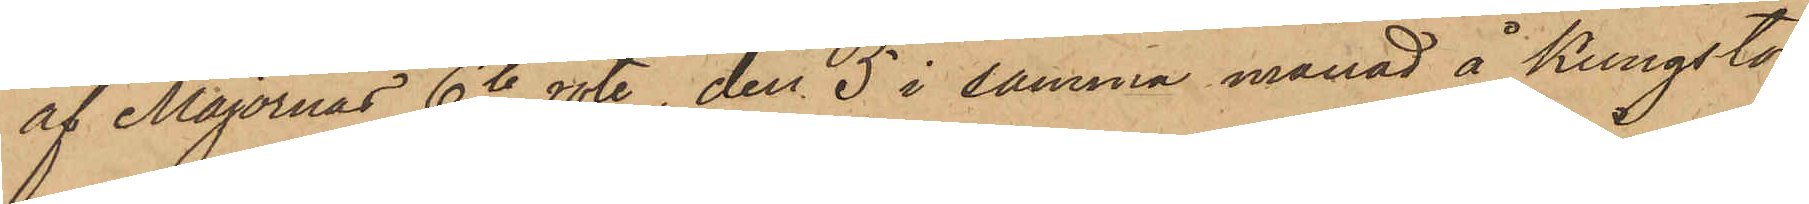af Majornas 6te rote, den 5 i samma månad å Kungstor¬
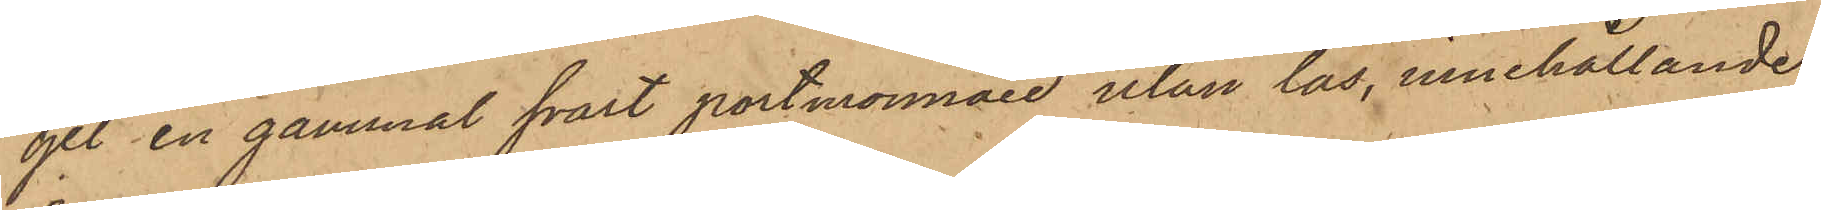get en gammal svart portmonnaie utan lås, innehållande
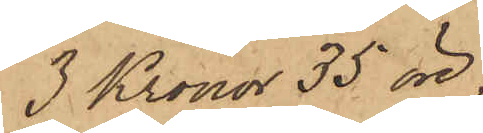3 Kronor 35 öre.
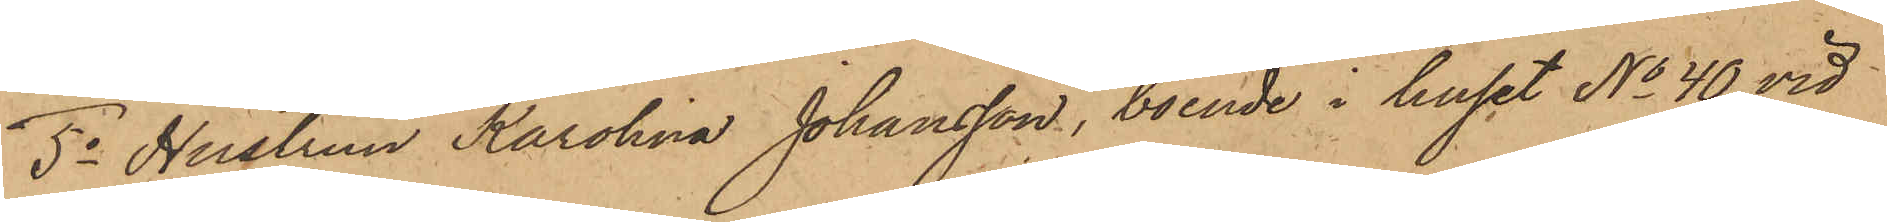5o Hustrun Karolina Johansson, boende i huset No 40 vid
